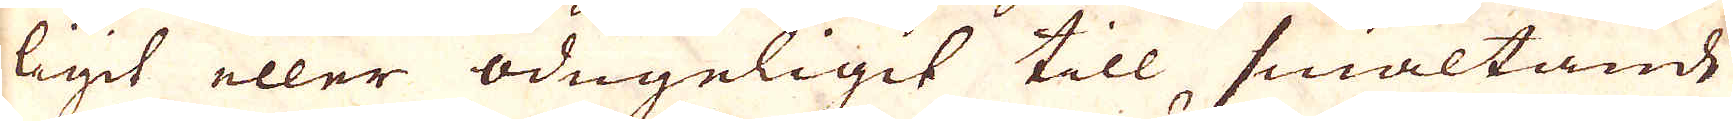ligit eller odugeligit till, smältande
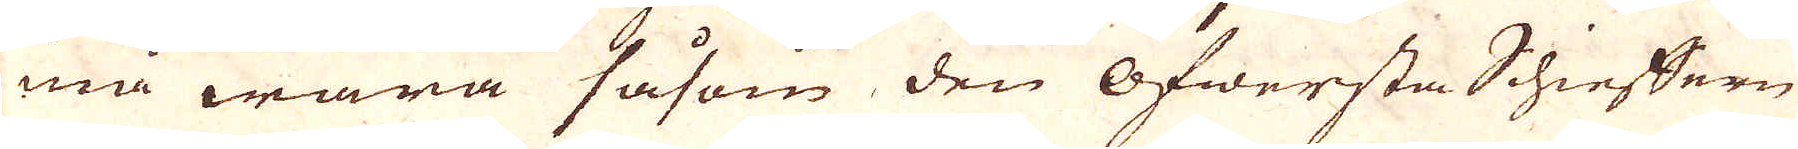må wara såsom den Öfwersta Schieffern
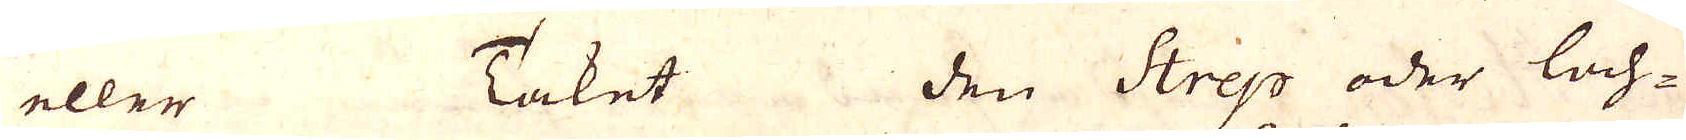eller Taket den Srep oder lach-
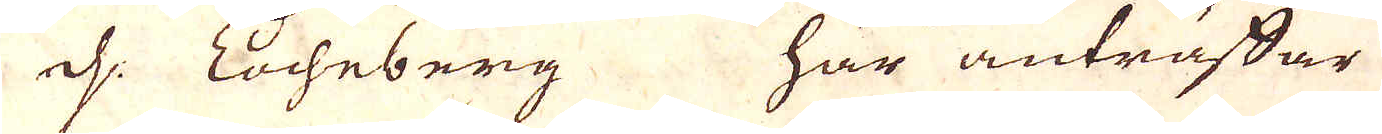d: Eocheberg här anträffar
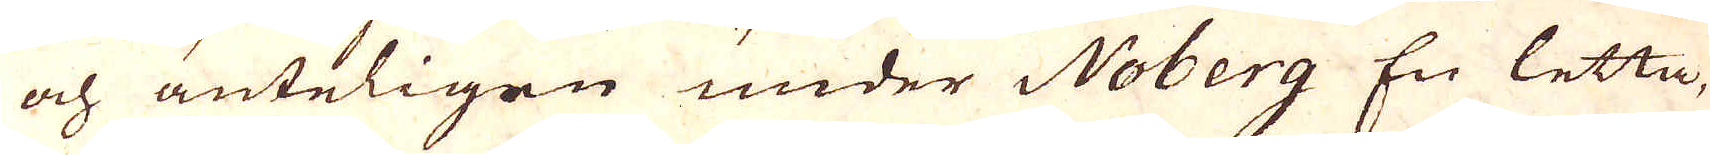och änteligen under Noberg En letta,
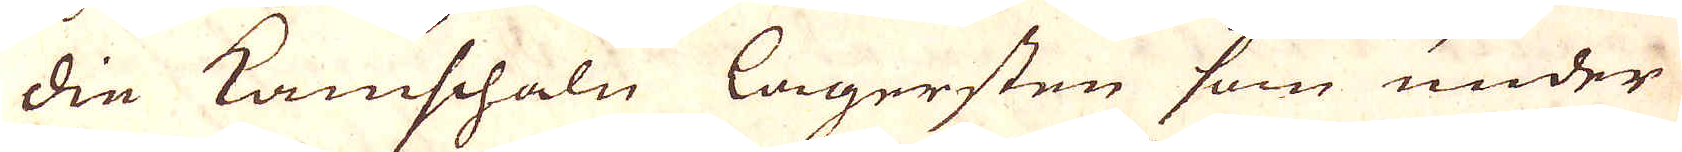die Kamschaln lagersten som under
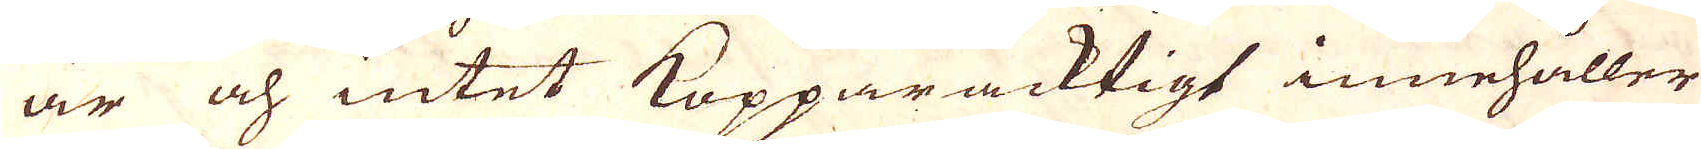är och intet Kopparacktigt innehåller
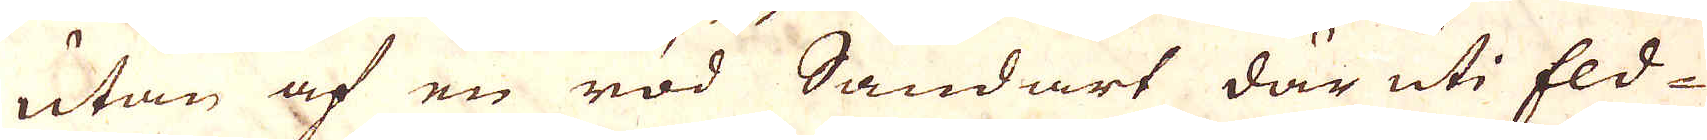utan af en röd Sandart där uti Eld-
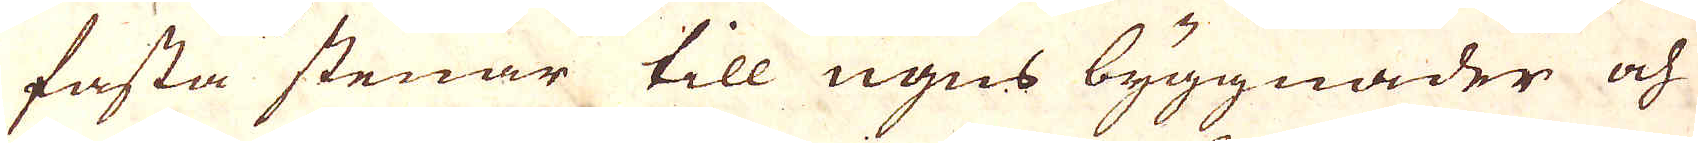fasta stenar till ugns byggnader och
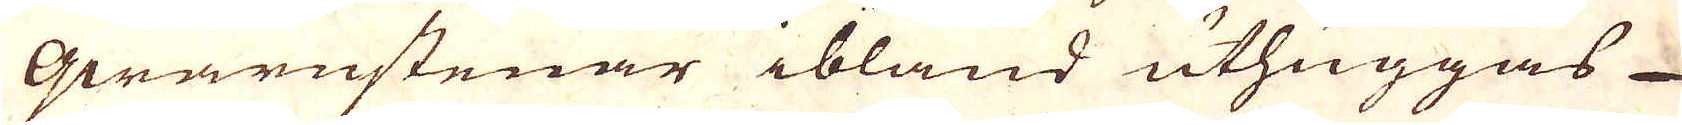qwarnstenar ibland uthuggas
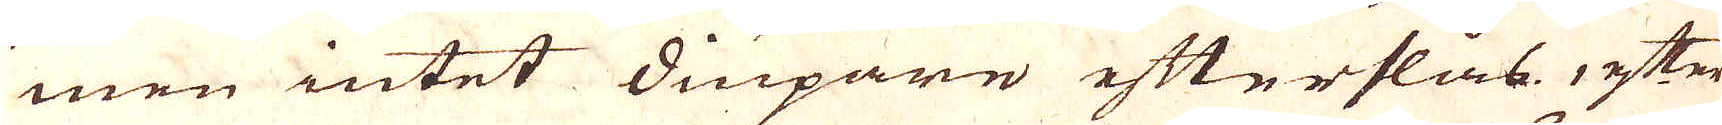men intet diupare efterslås efter
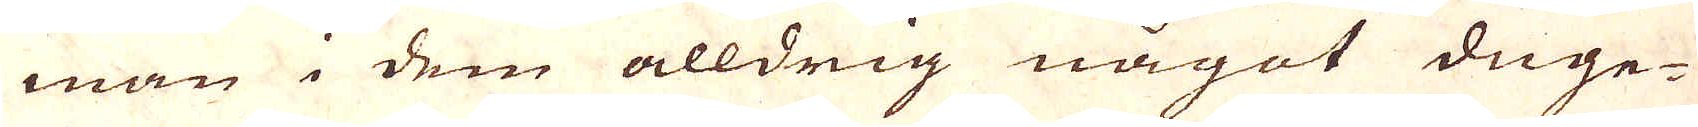man i dem alldrig något duge-
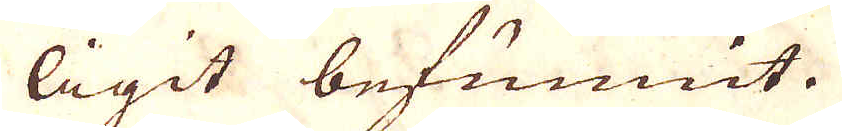ligit befunnit.
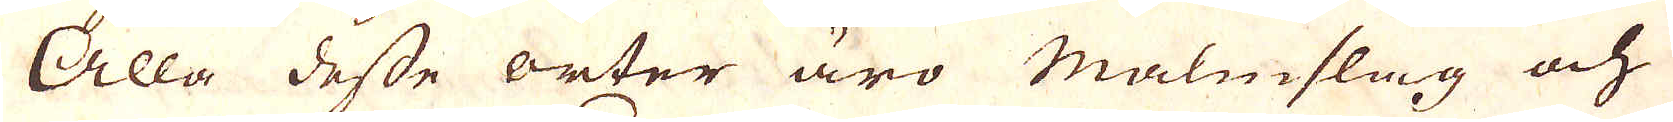Alla desse orter äro malmslag och
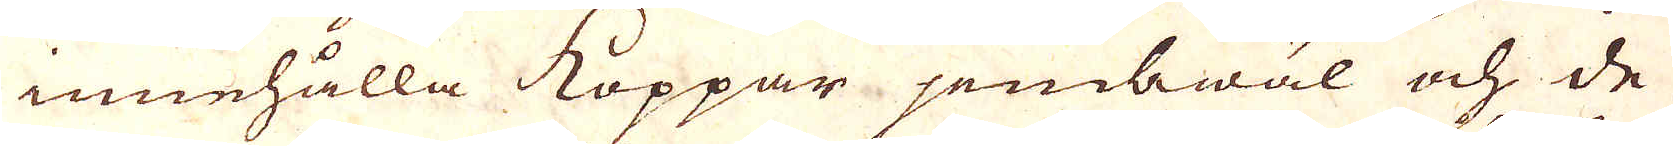innehålla Koppar jembwäl och de
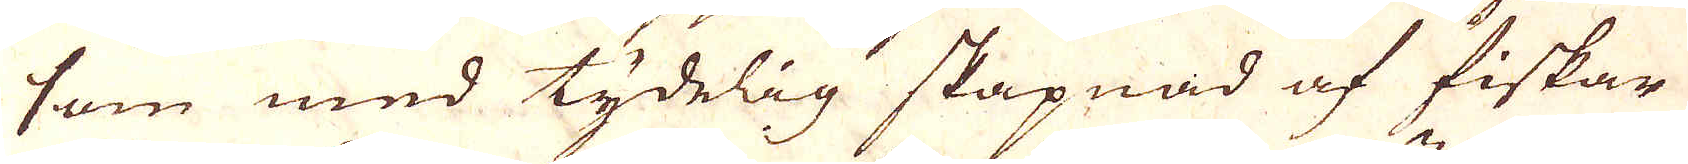som med tydelig skapnad af fiskar
